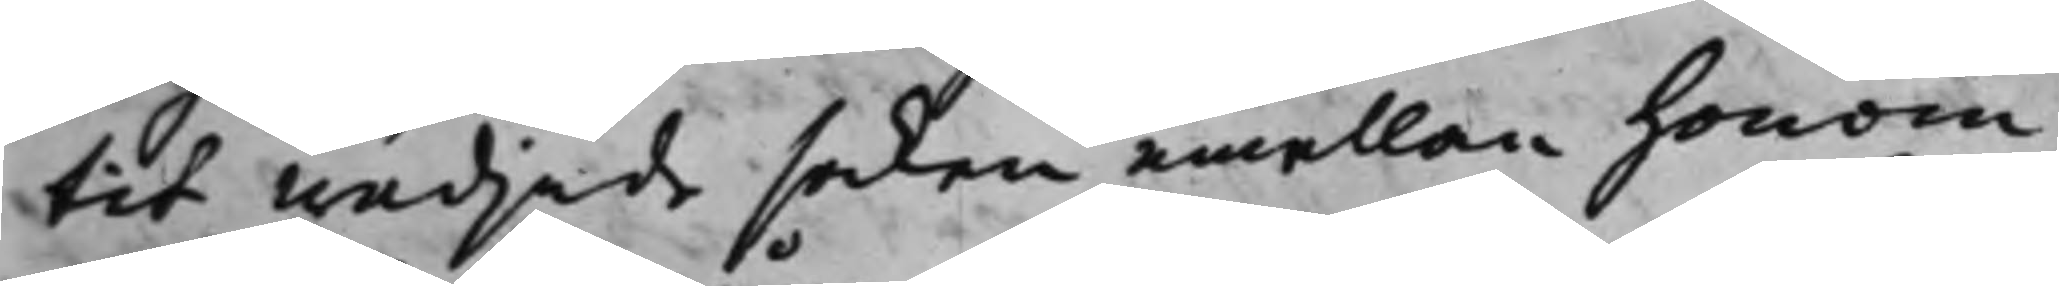tit wädjade saken emellan honom
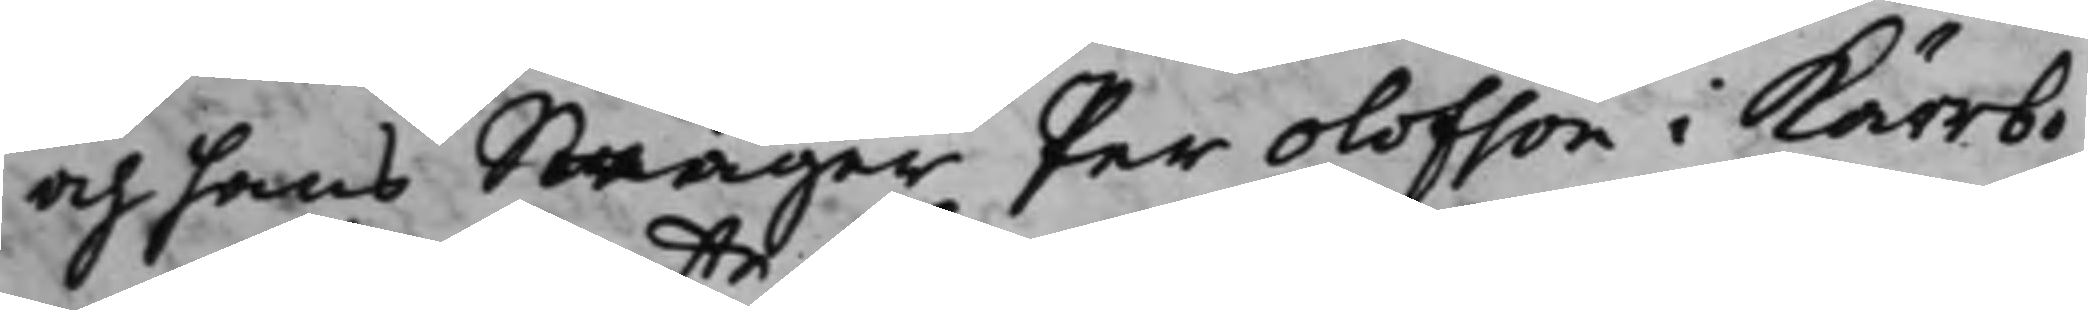och hans Swåger Per Olofson i Kärrbo
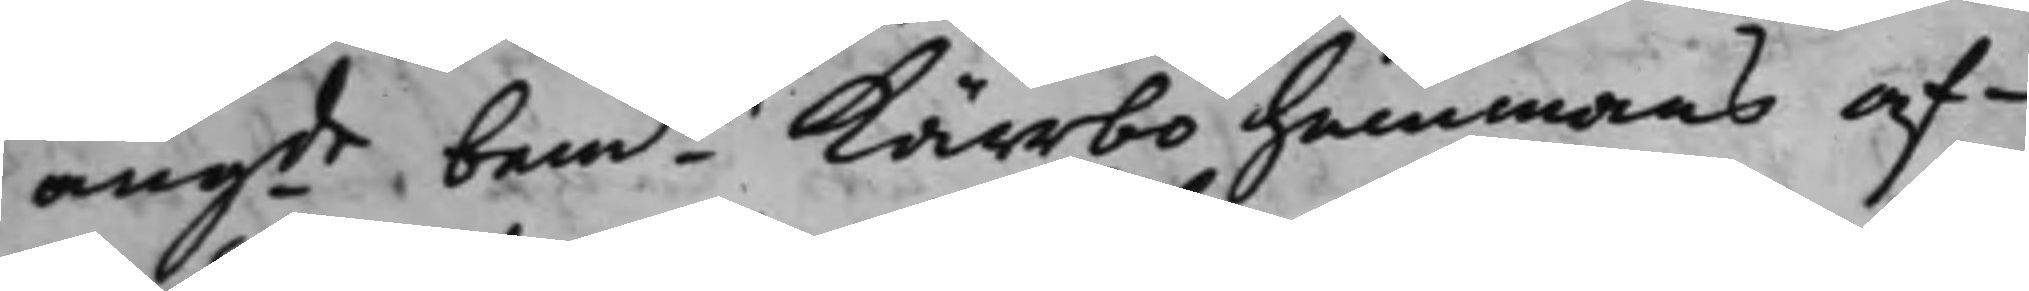angde bemte Kärrbo Hemmans af¬
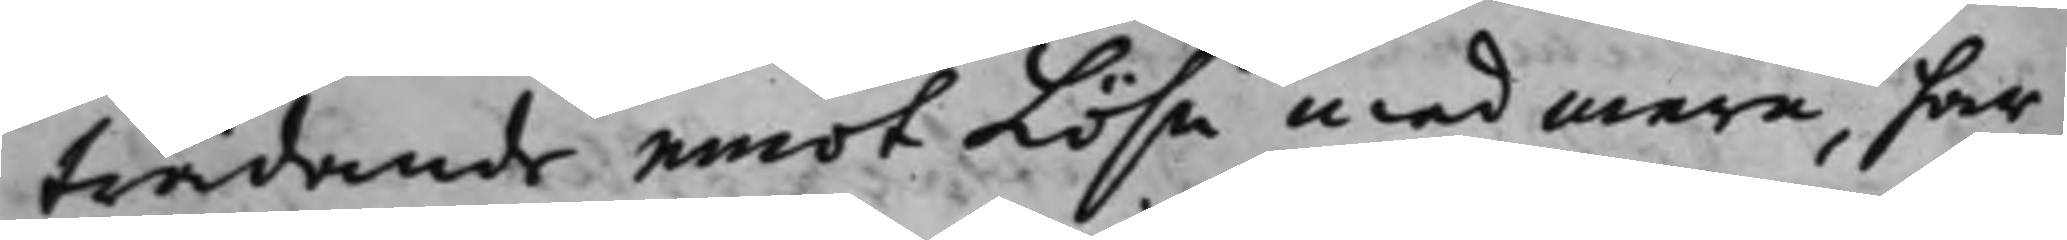trädande emot Lösn med mera, har
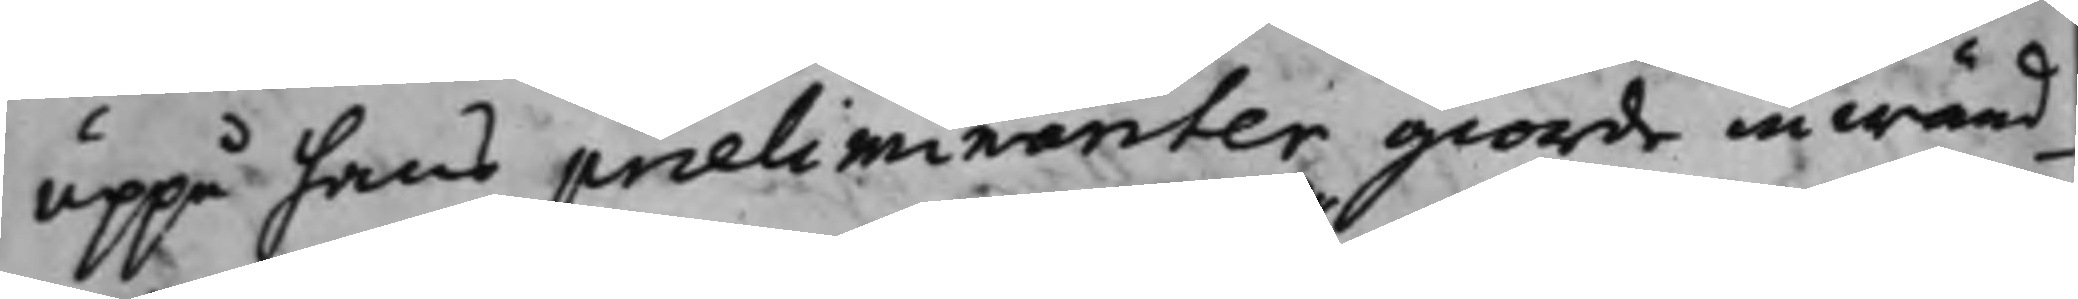uppå hans præliminariter giorde inwänd¬
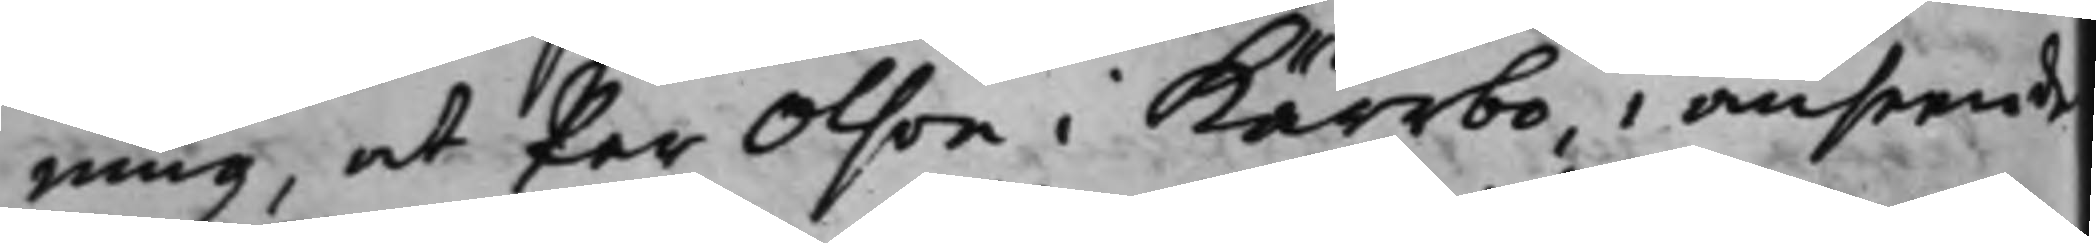ning, at Per Olson i Kärrbo, i anseende
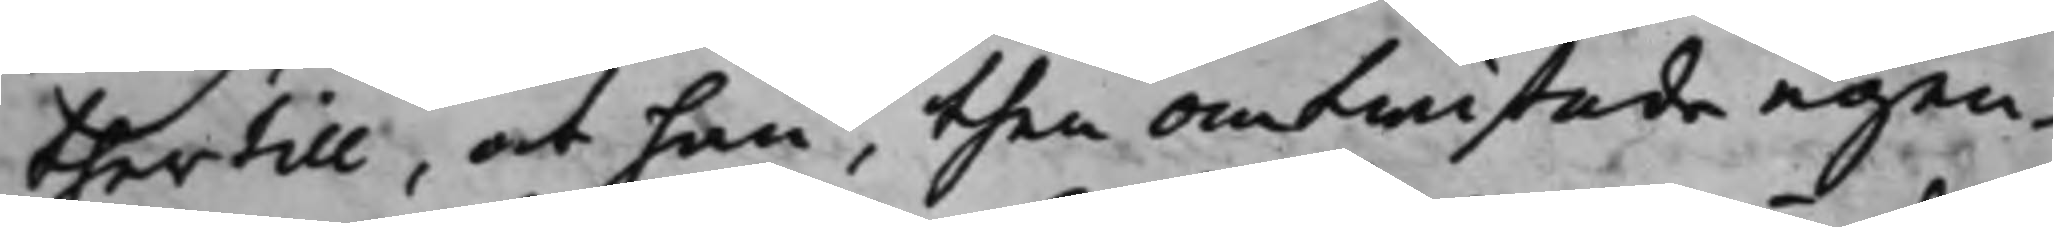thertill, at han, then omtwistade egen¬
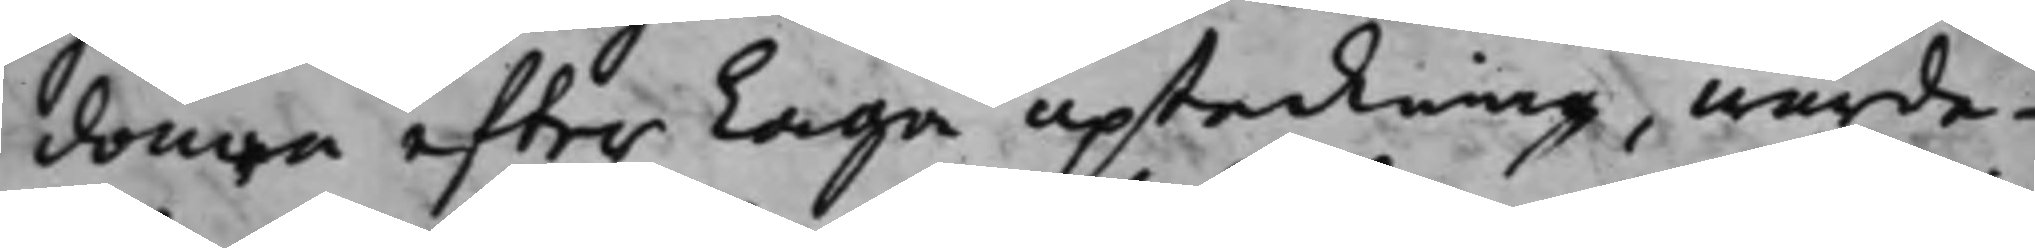domen efter Laga upteckning, wärde¬
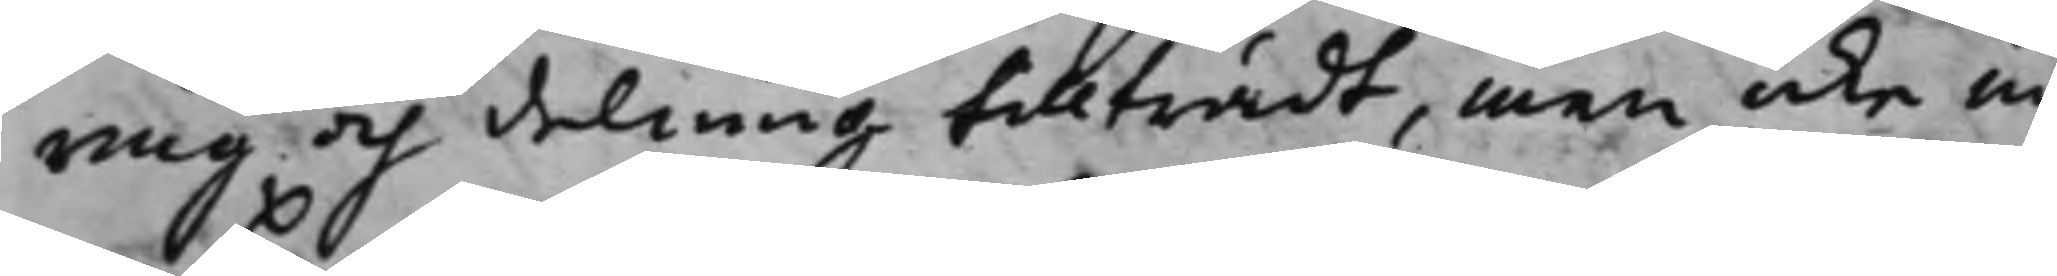ring och delning tillträdt, men icke in¬
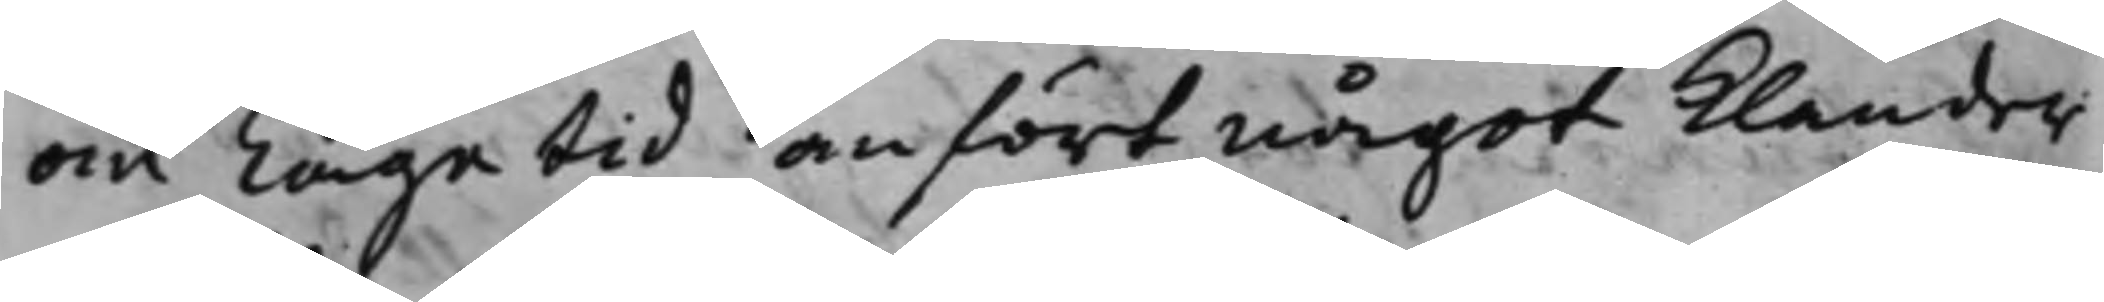om Laga tid anfört något klander
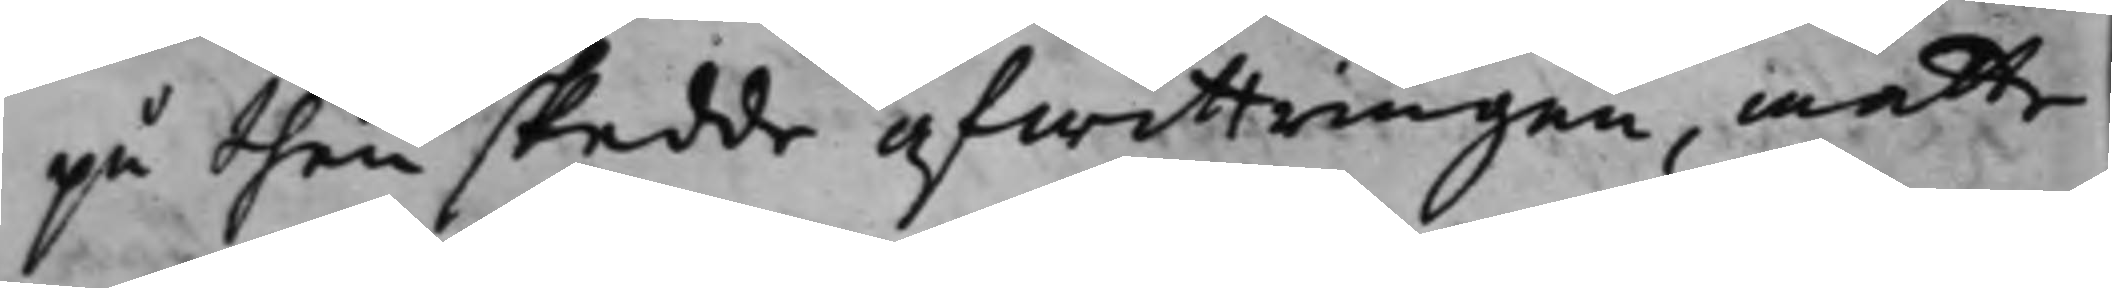på then skedde afwittningen, måtte
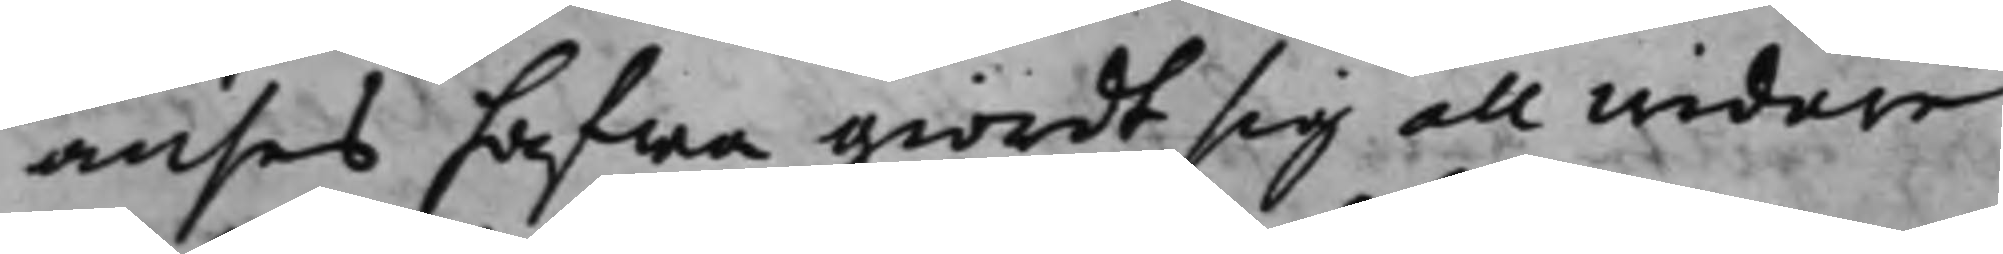anses hafwa giordt sig all widare
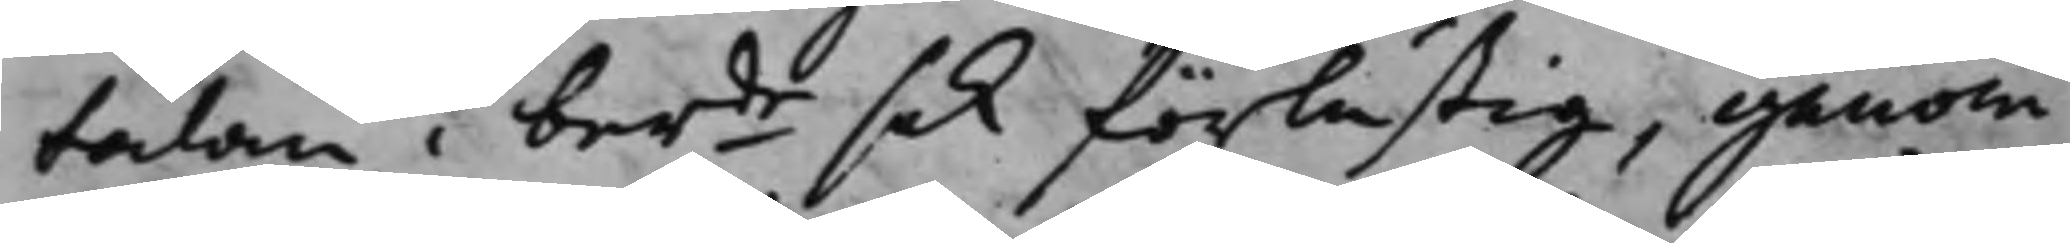talan i berde sak förlustig, genom
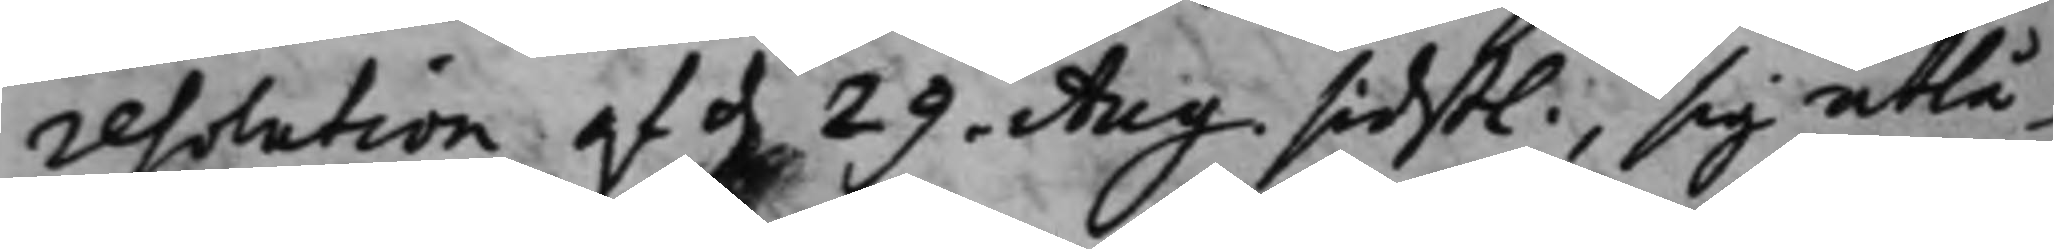resolution af d. 29 Aug: sidst., sig utlå¬
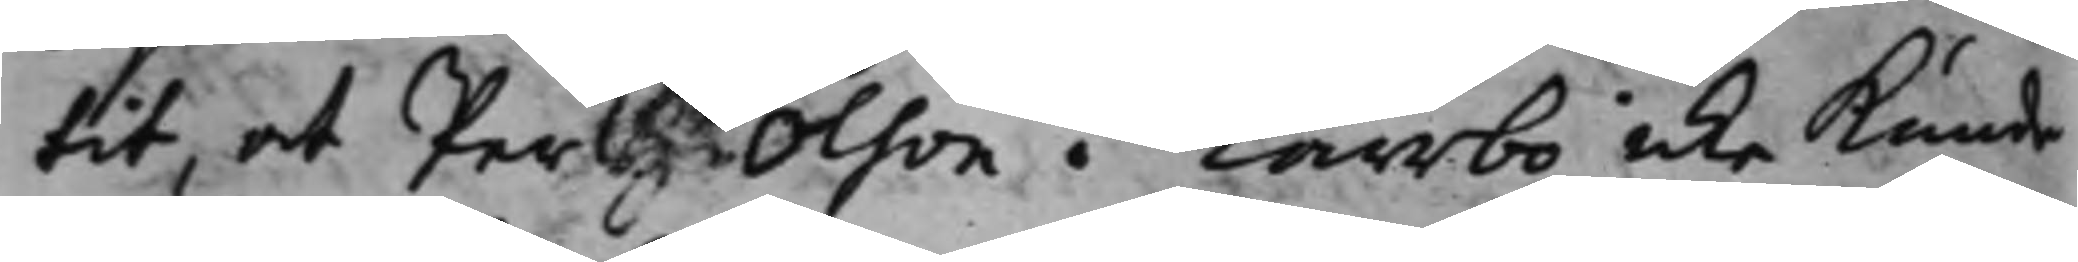tit, at Per Olson i Kärrbo icke kunde
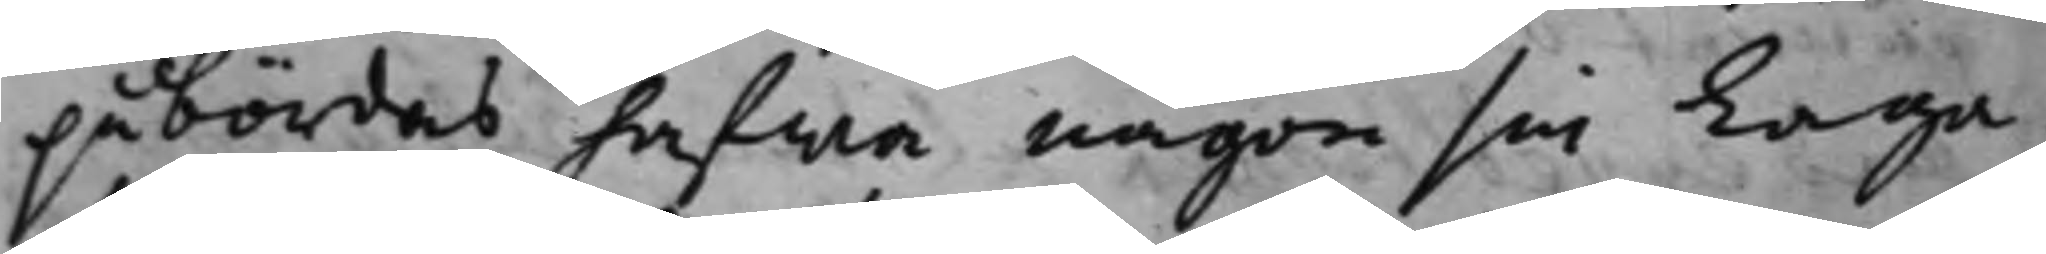påbördas hafwa någon sin Laga
